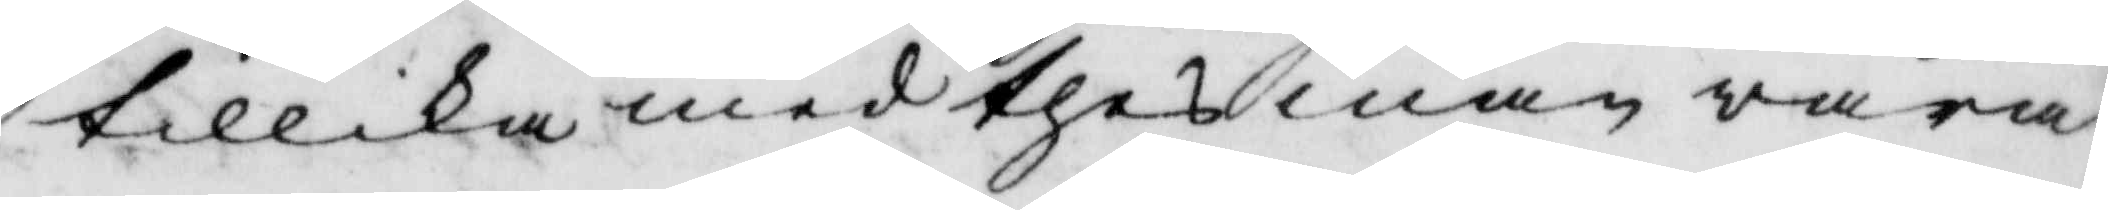tillika med thes man wara
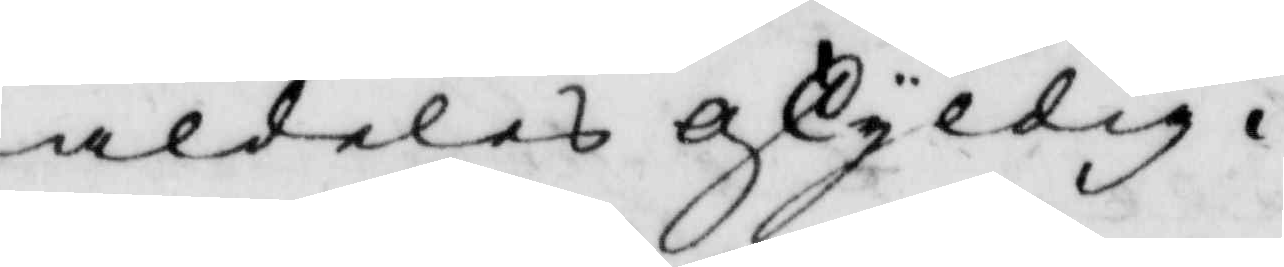aldeles oskyldig.
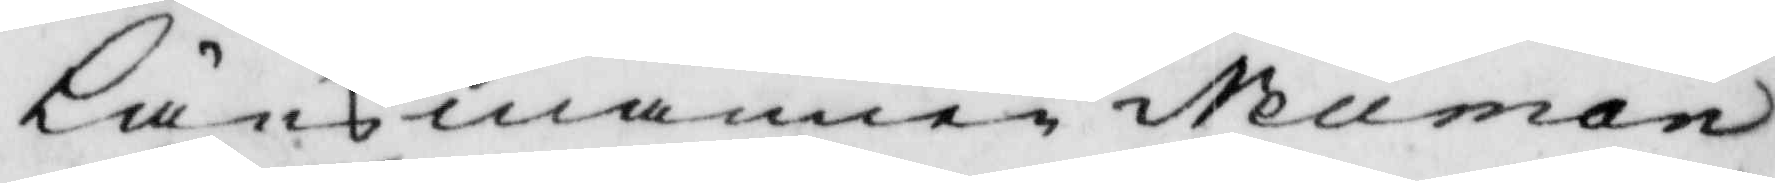Länsman Neuman
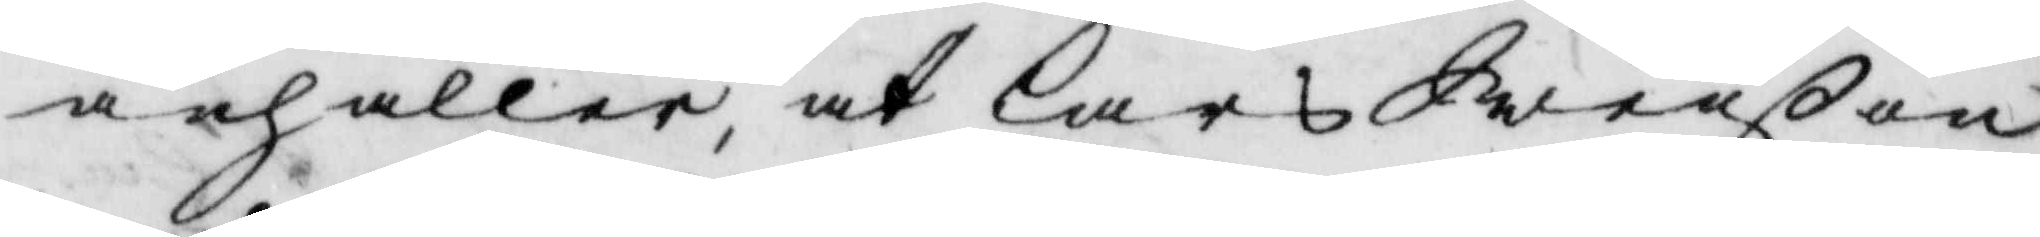anhåller, at Lars Swenßon
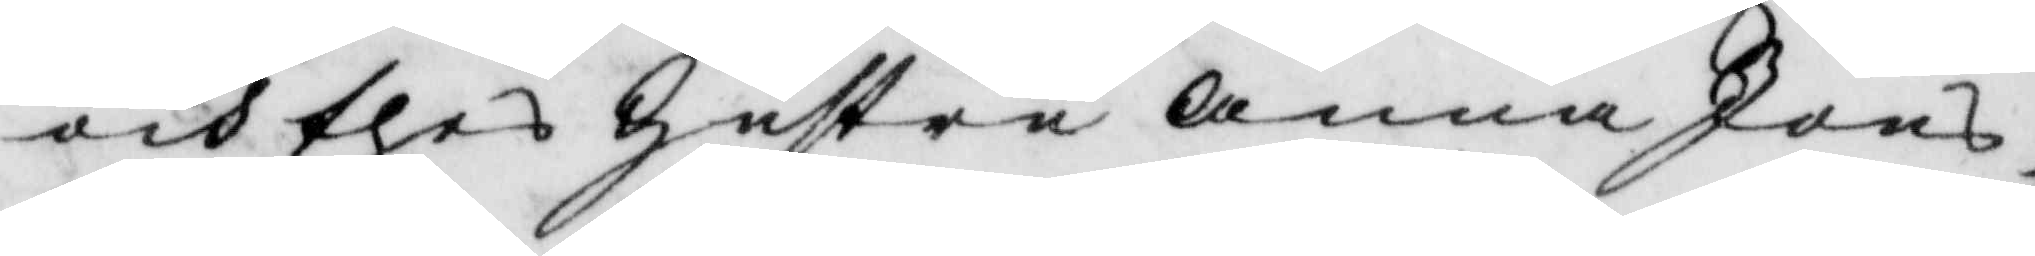och thes hustru Anna Jons¬
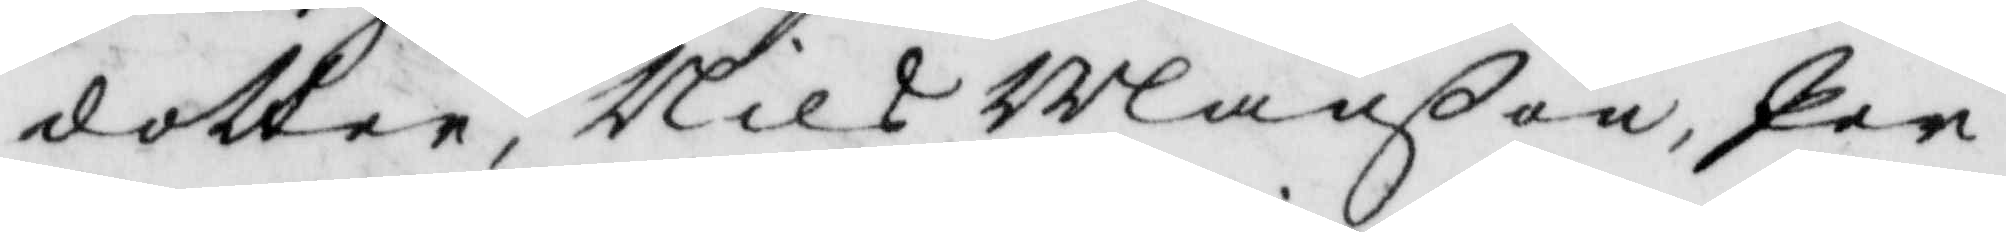dotter, Nils Månßon, Per
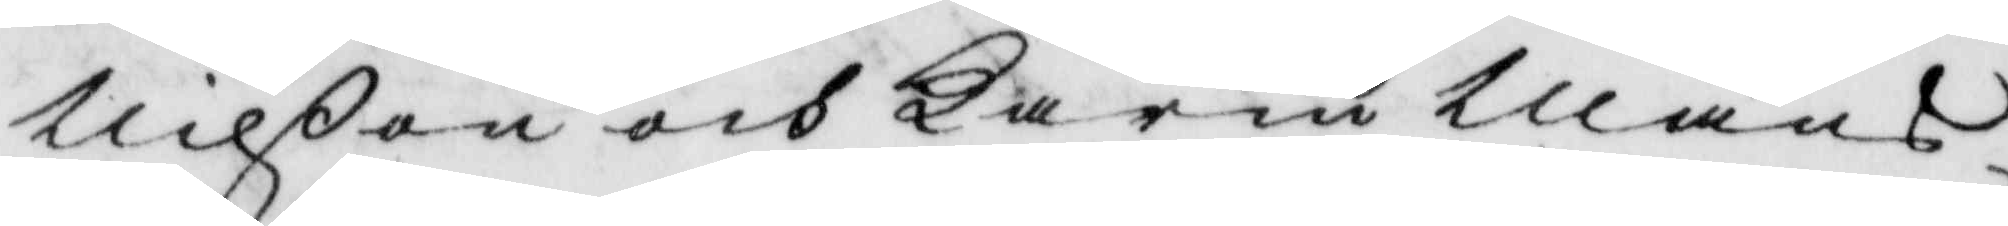Nilßon och Karin Måns¬
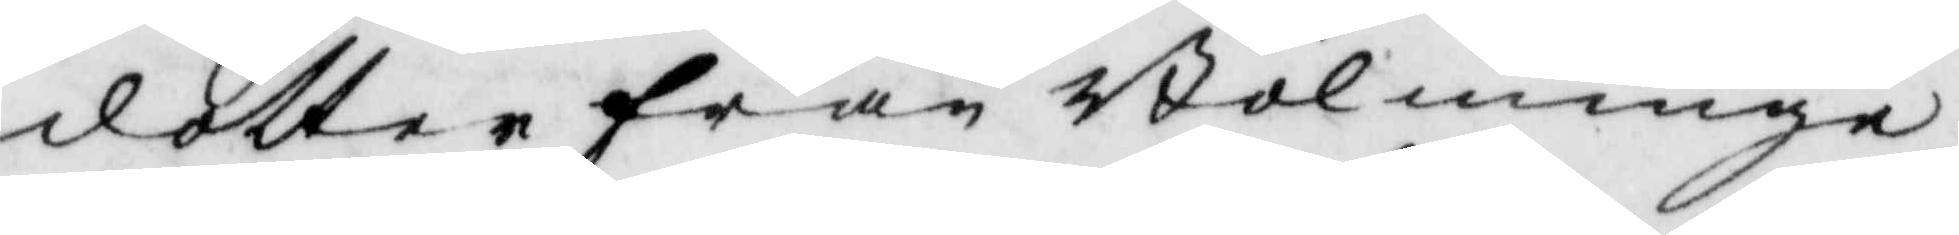dotter från Bölminge
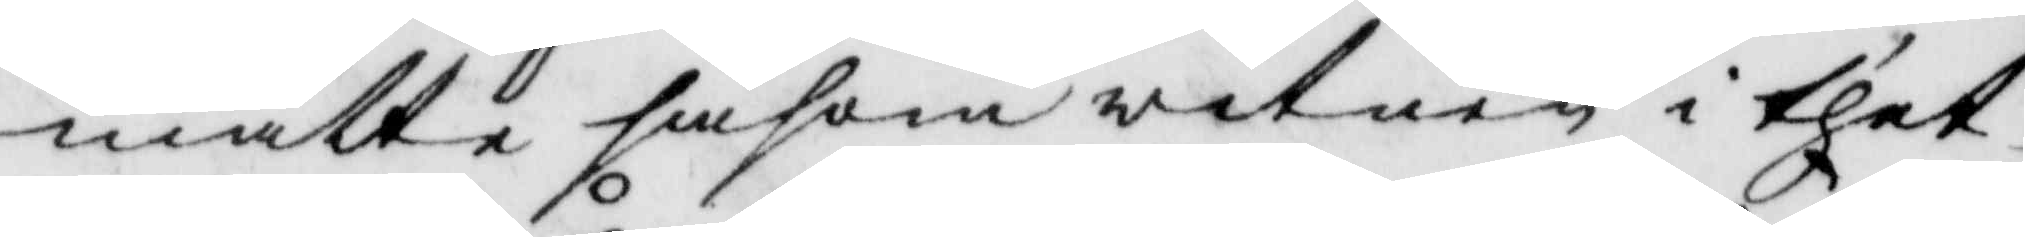måtte såsom witnen i thet¬
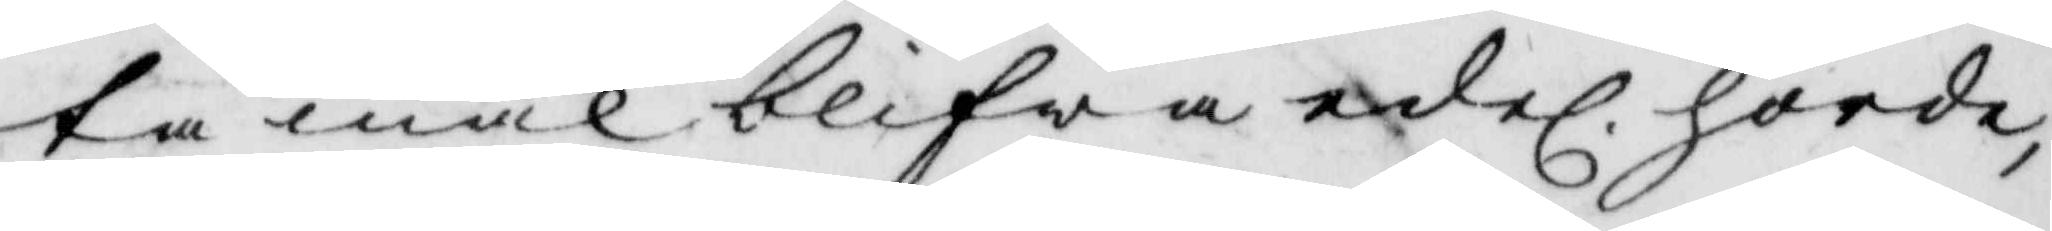ta mål blifwa edel. hörde,
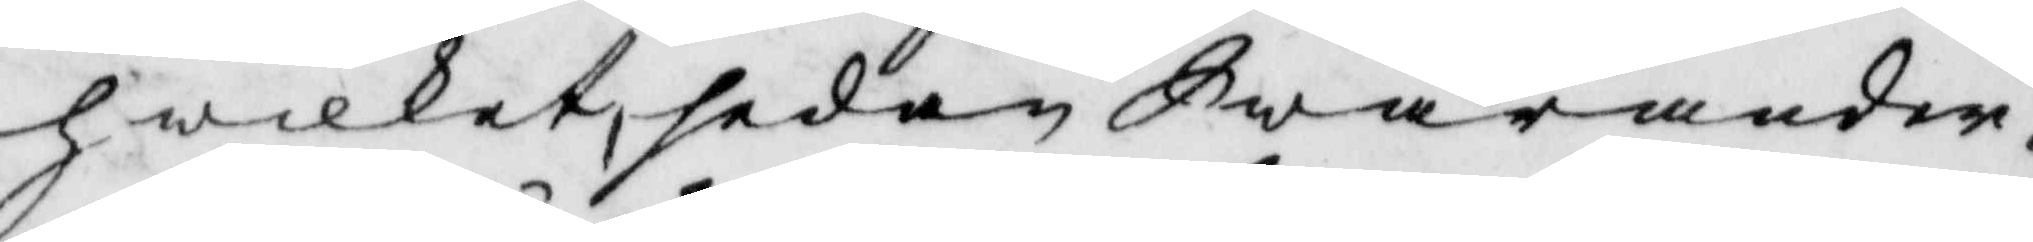hwilket, sedan Swarander¬
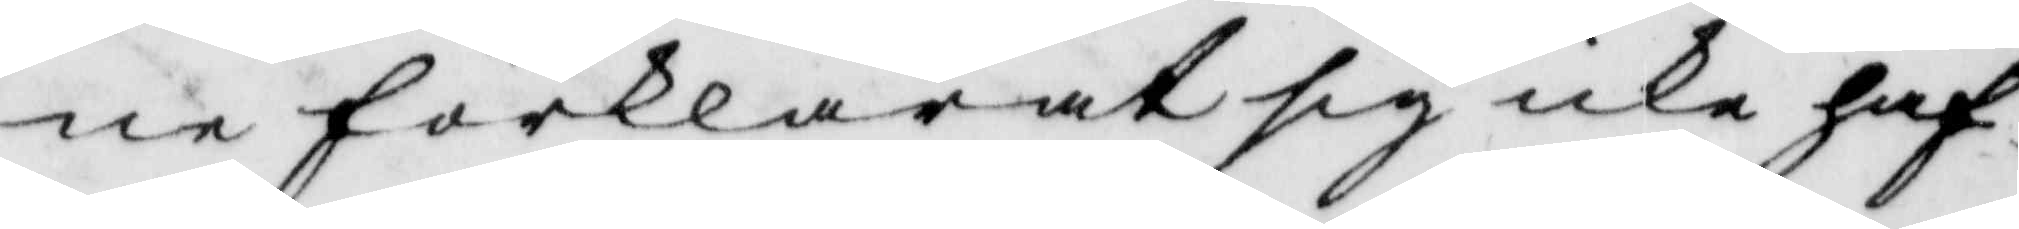ne förklarat sig icke haf¬
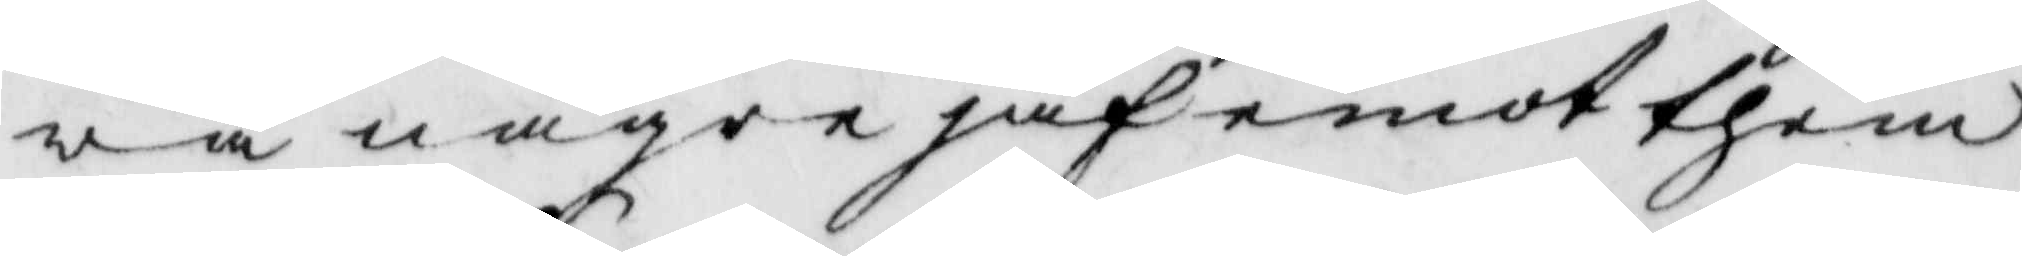wa några jäf emot them
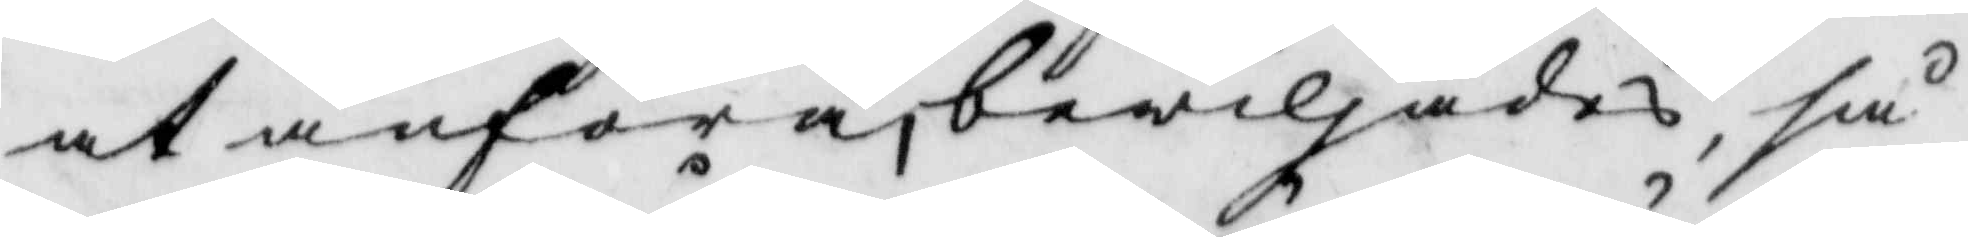at anföra, bewiljades, så
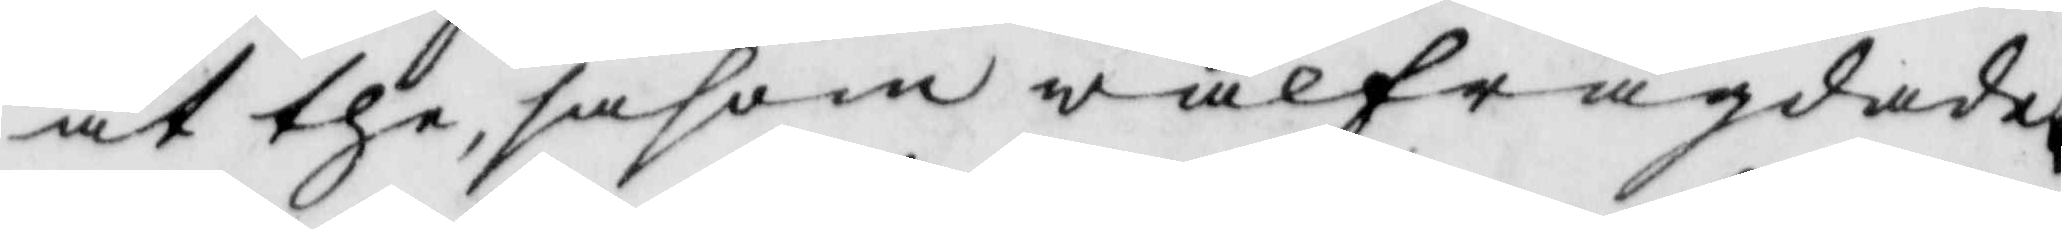at the, såsom wälfrägdade,
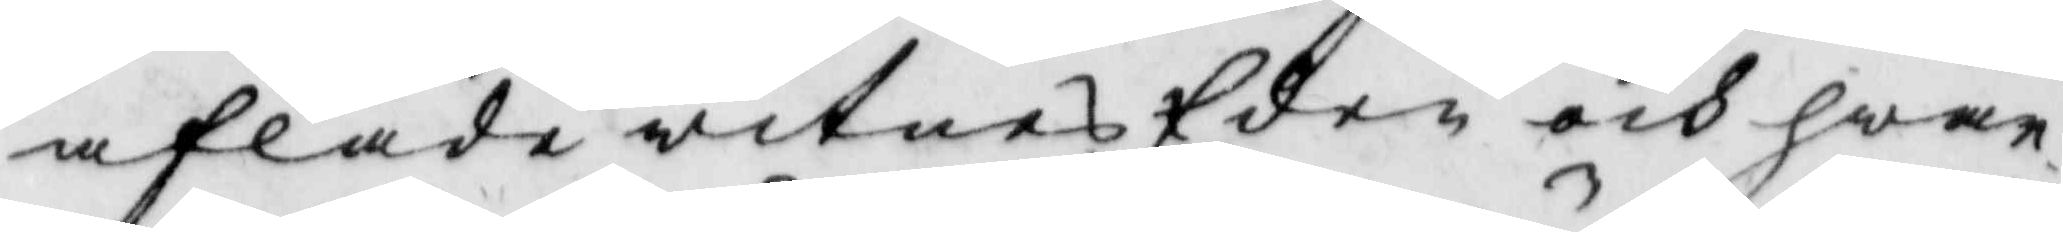aflade witnes Eden och hwar¬
